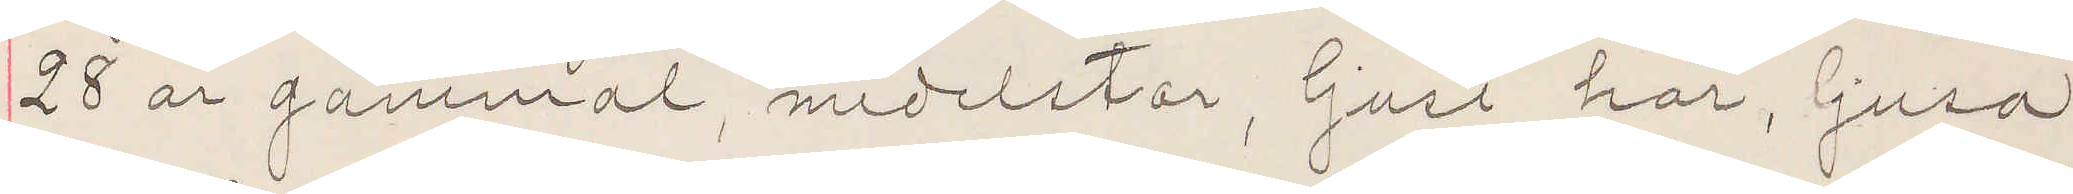28 år gammal, medelstor, ljust hår, ljusa
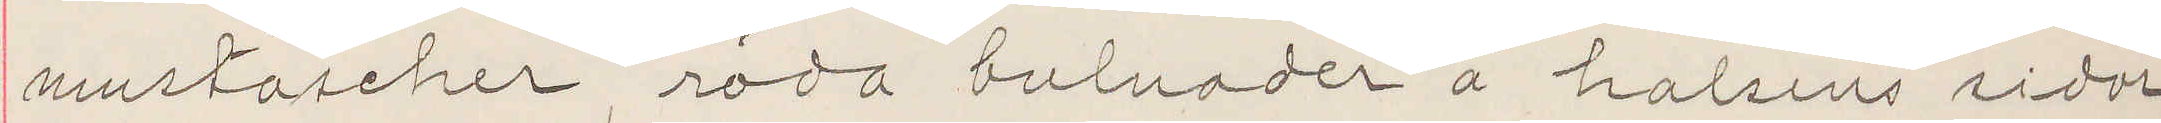mustascher, röda bulnader å halsens sidor
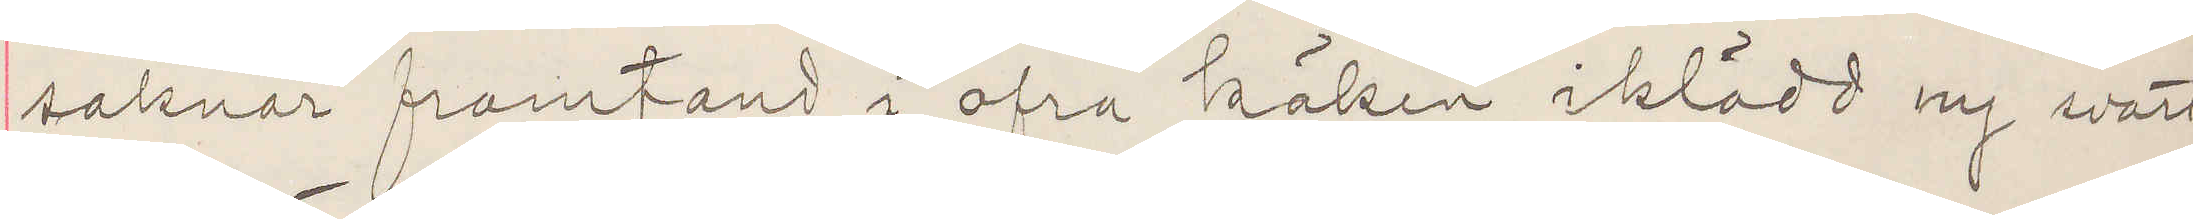saknar framtand i öfra käken, iklädd ny svart
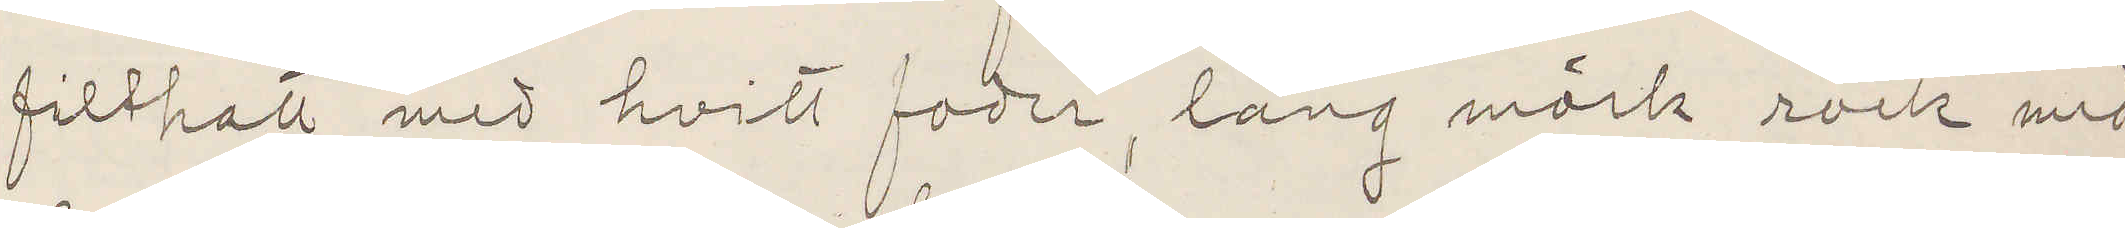filthatt med hvitt foder, lång mörk rock med
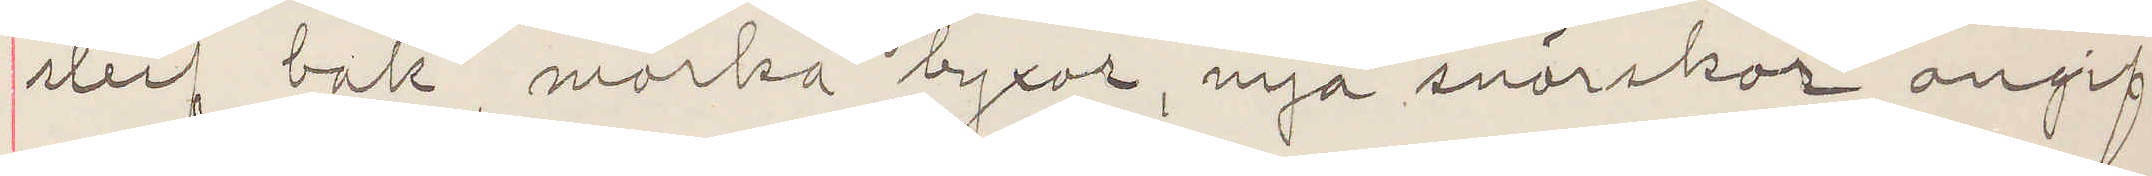sleif bak, mörka byxor, nya snörskor angif¬
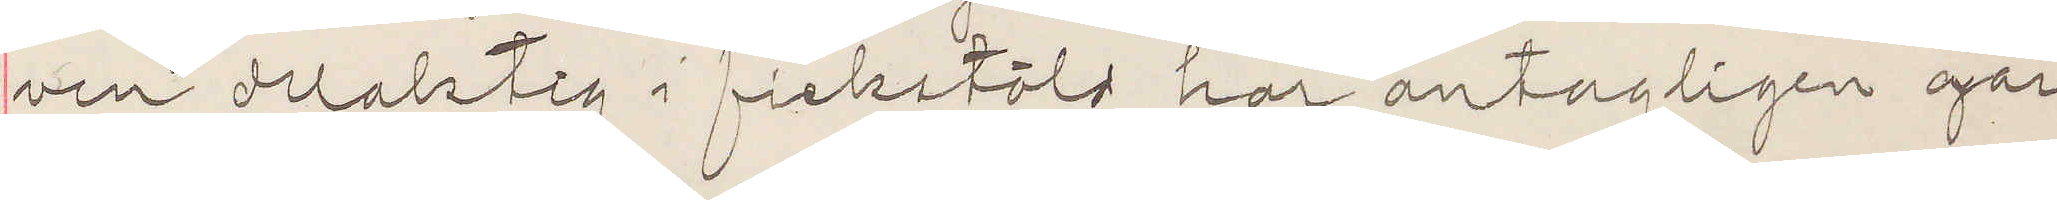ven delaktig i fickstöld har antagligen går
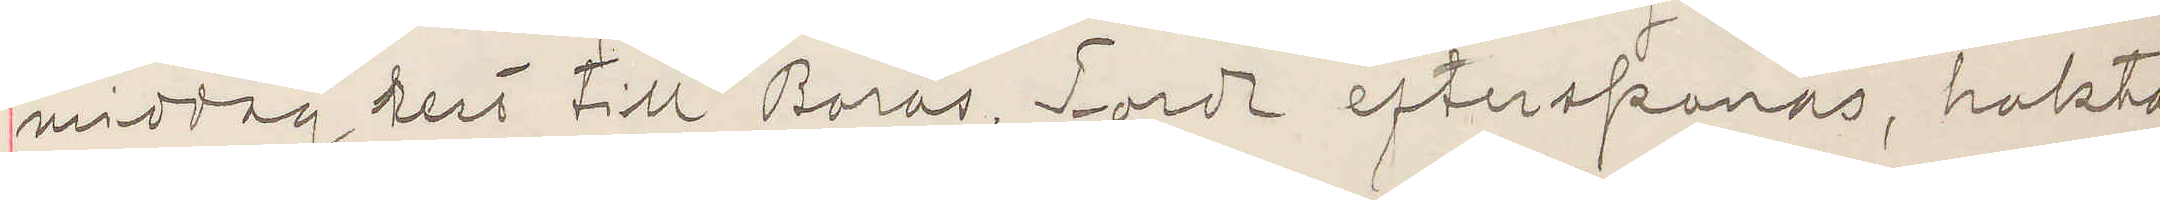middag rest till Borås. Torde efterspanas, haktas
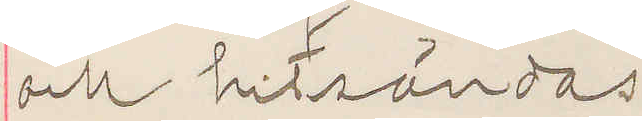och hitsändas.
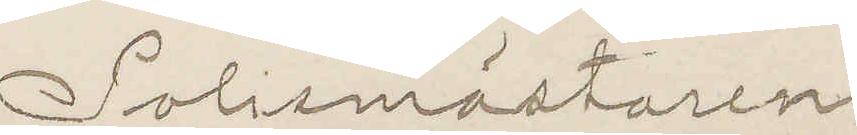Polismästaren.
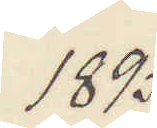1895
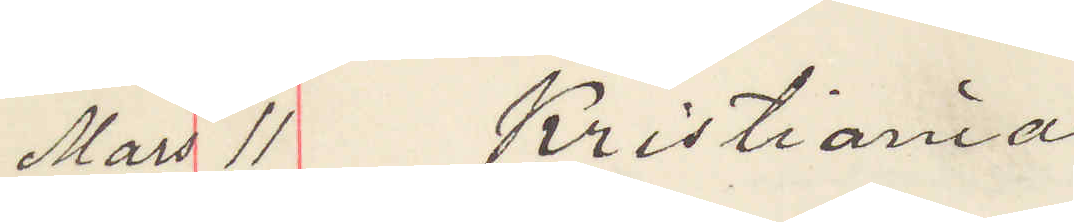Mars 11 Kristiania
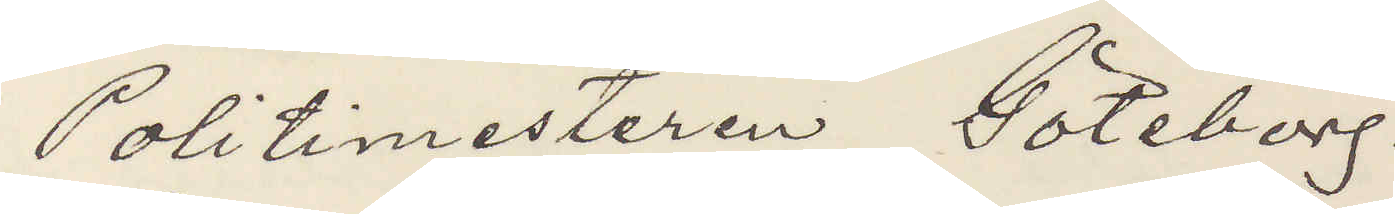Politimesteren Göteborg.
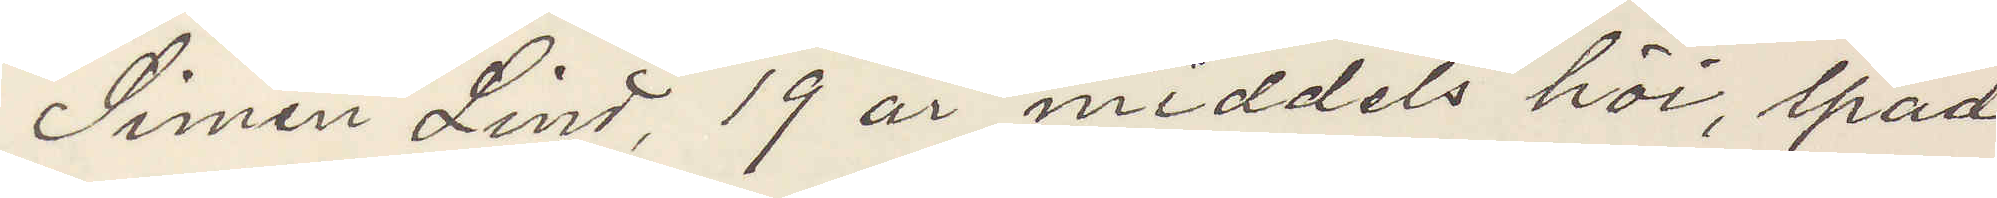Sinnen Lind, 19 år middels höi, späd
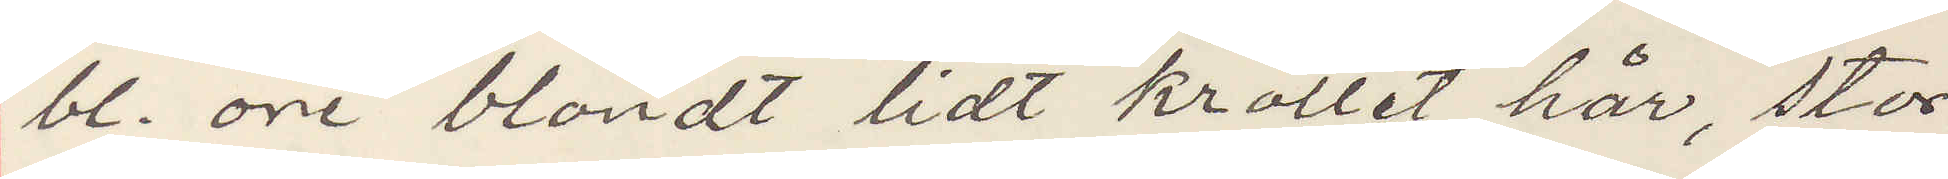bl. öie blondt lidt kröllet hår, stor
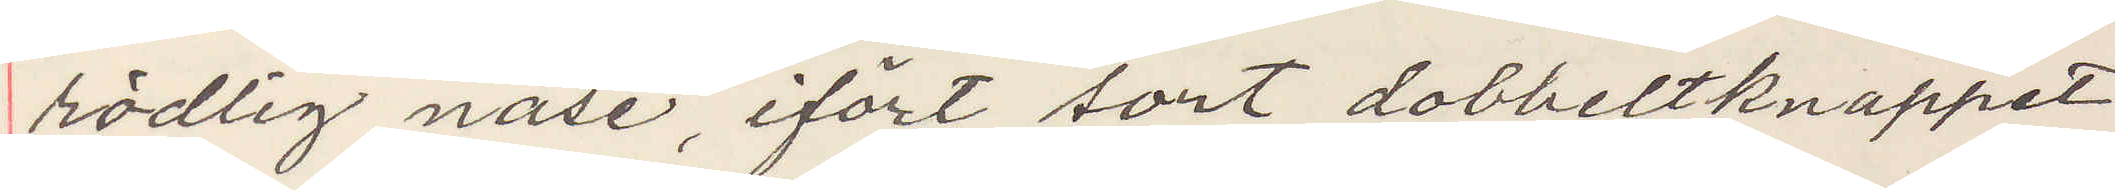rödlig näse, ifört sort dobbeltknappet
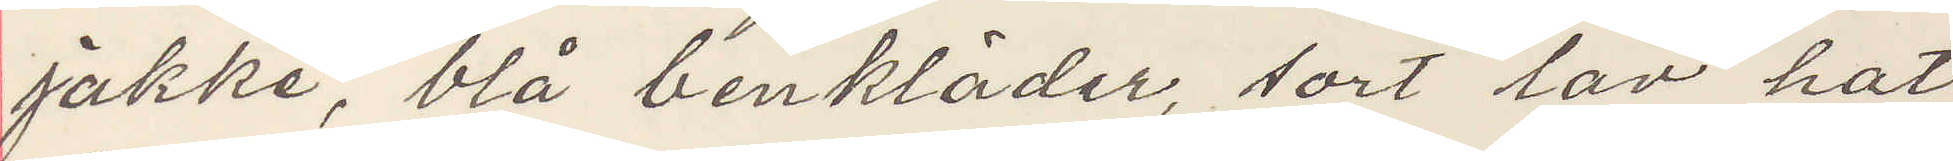jakke, blå benkläder, sort lav hat,
